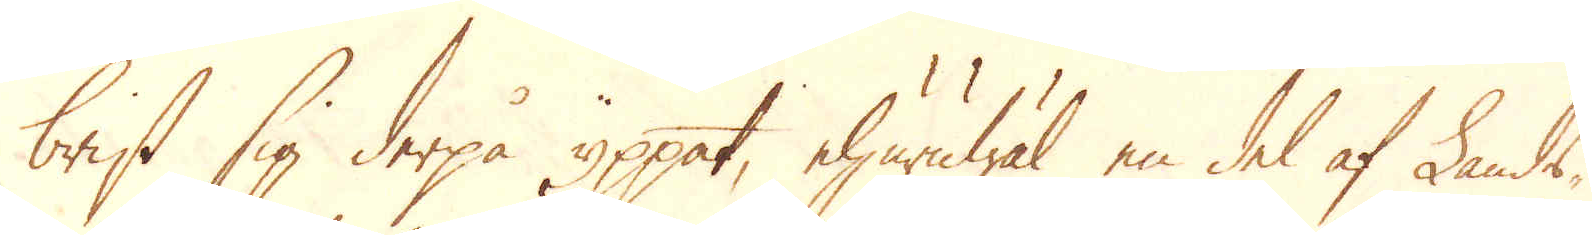brist sig derpå ypppat, ehuruwäl en del af Lands-
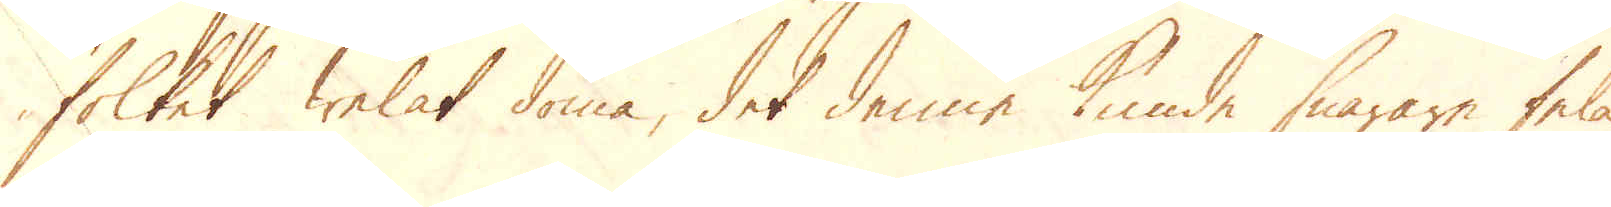folket welat döma, det denne kunde snarare fela
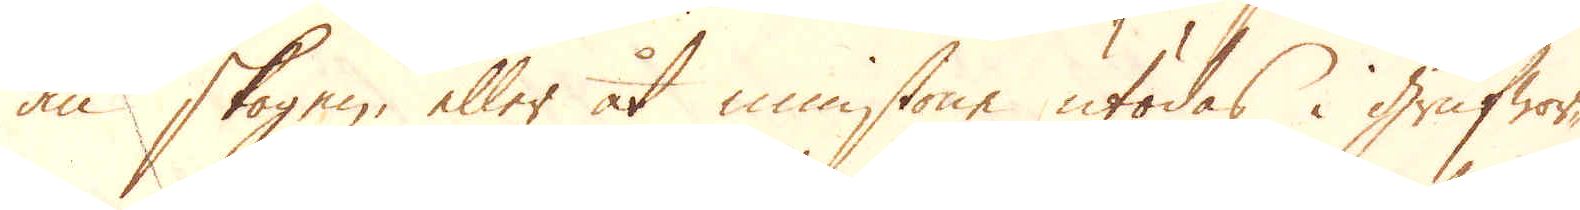än skogen, eller åt minstone utödas i grufwor-
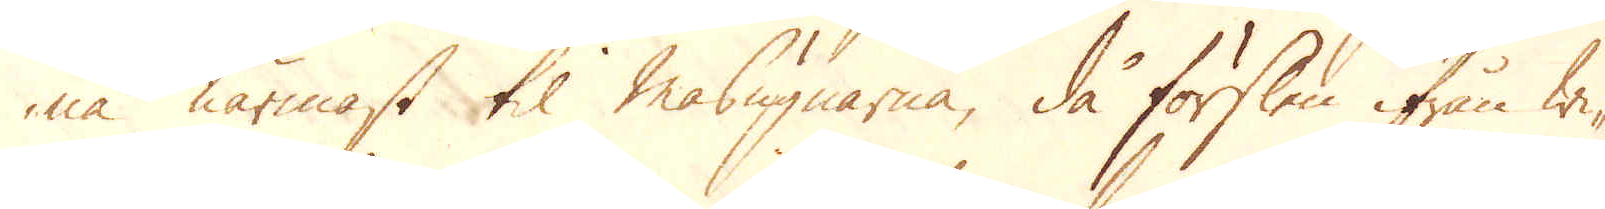na närmast til Masugnarna, då förslen ifrån wi-
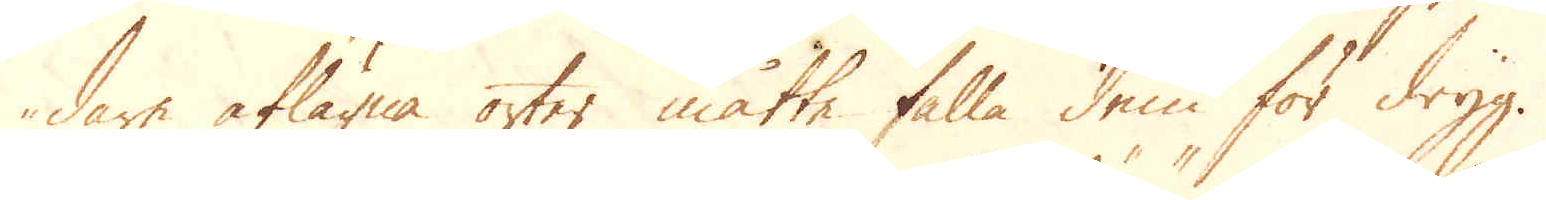dare aflägna orter måtte falla dem för dryg.
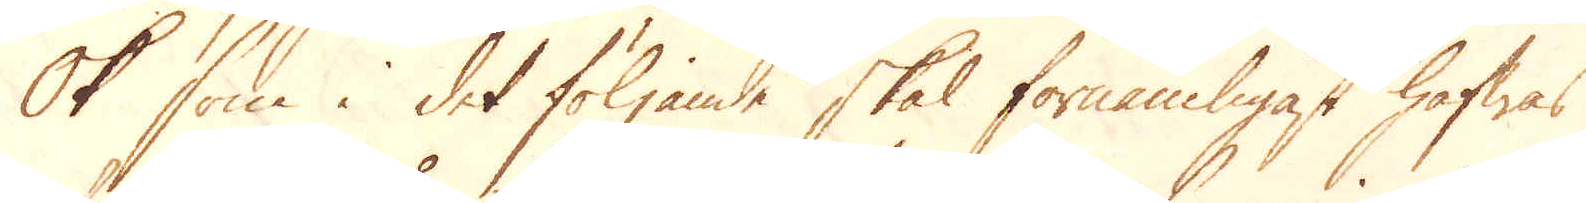Ok som i det följande skal förnämligast hafwas
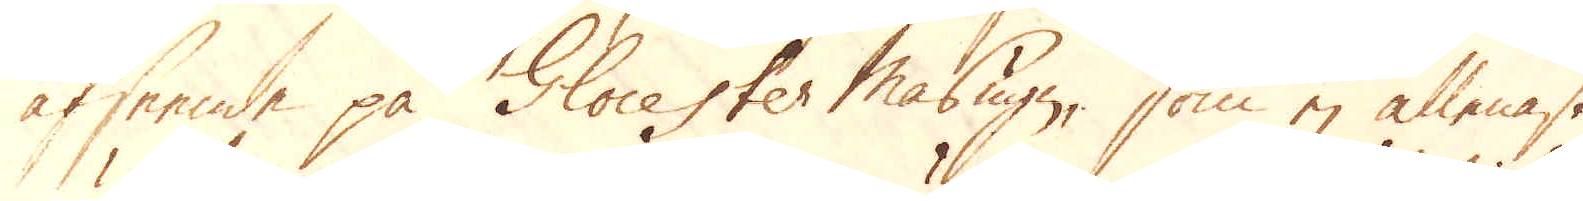afseende på Glocester Masugn, som ej allenast
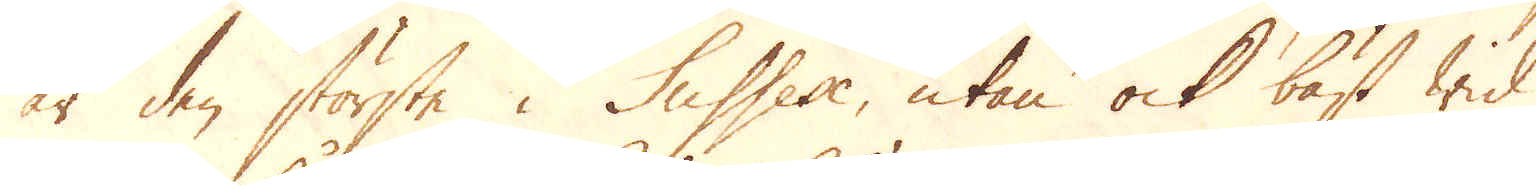är den största i Sussex, utan ock bäst wid
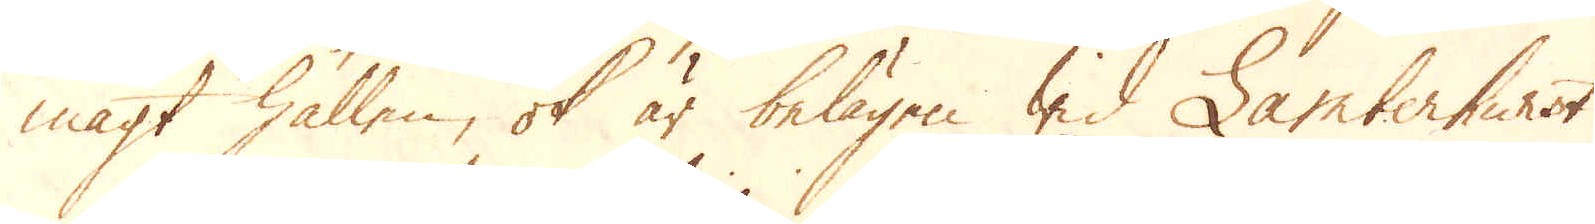magt hållen, ok är belägen wid Lamberhurst
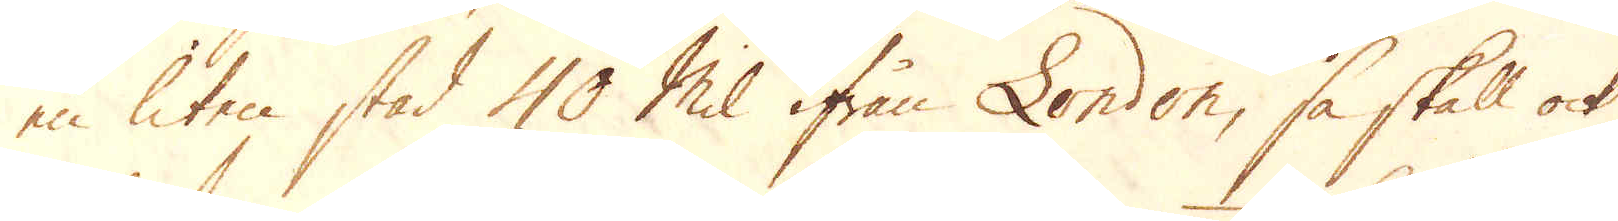en liten stad 40 Mil ifrån London, så skall ock
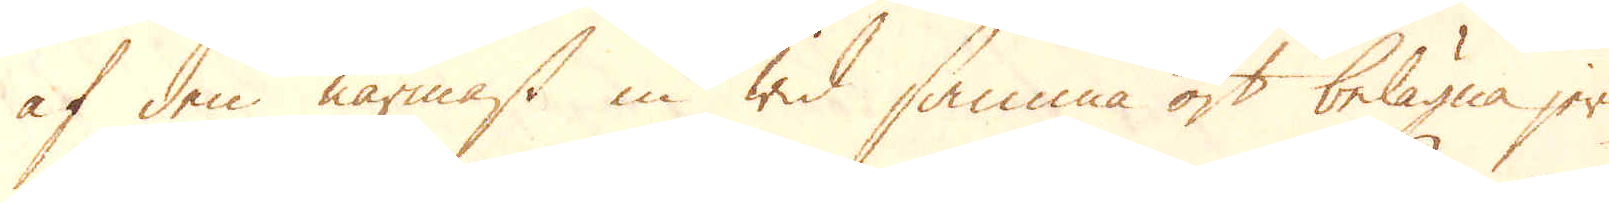af den närmast in wid samma ort belägna jern-
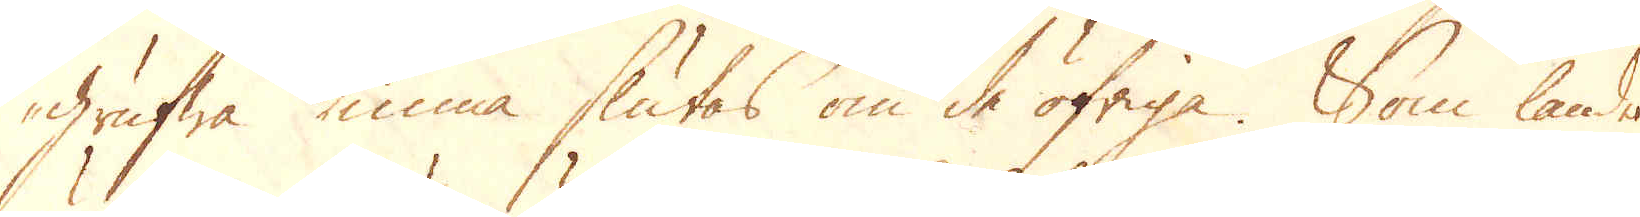grufwa kunna slutas om de öfriga. Som landet
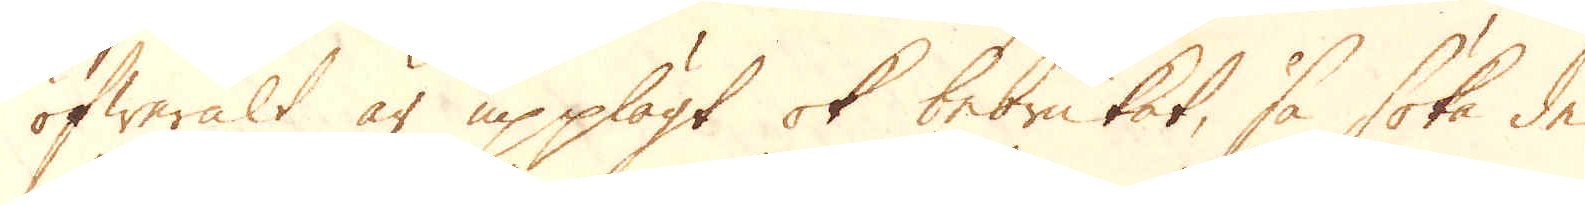öfweralt är upplögt ok bebrukat, så söka de
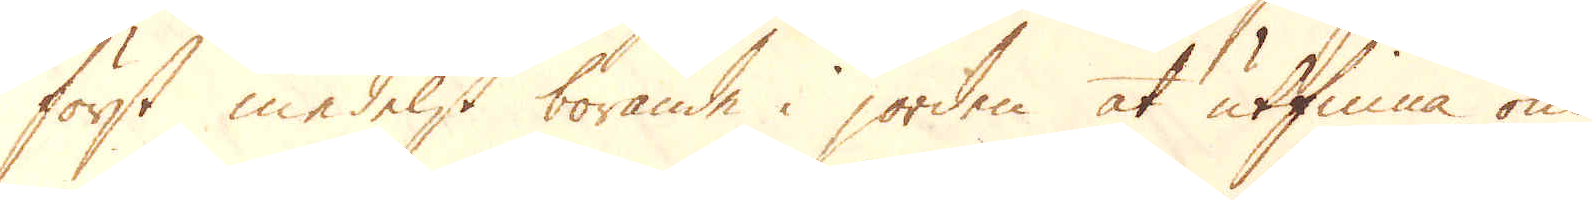först medelst borande i jorden at utfinna om
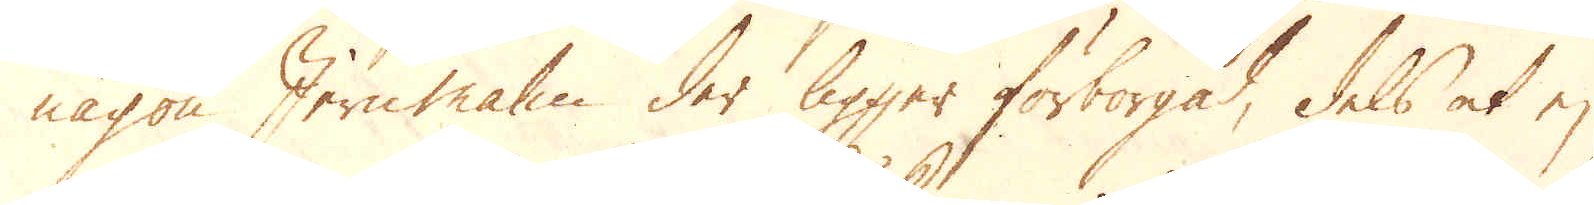någon Jern malm der ligger förborgad, dels at ej
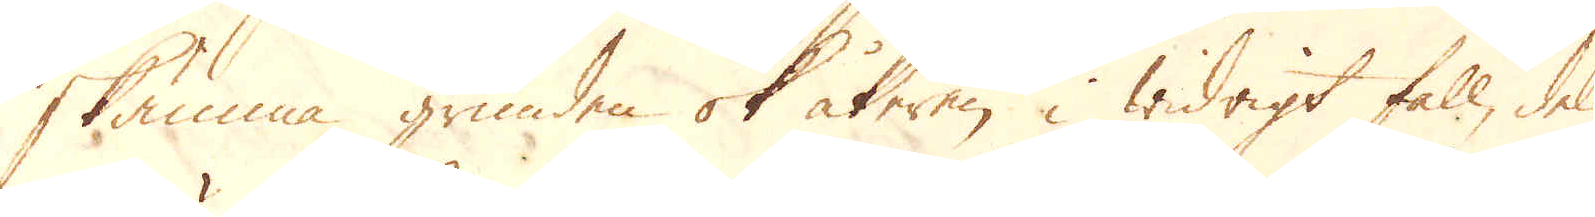skämma grunden ok åkeren i widrigt fall, dels
